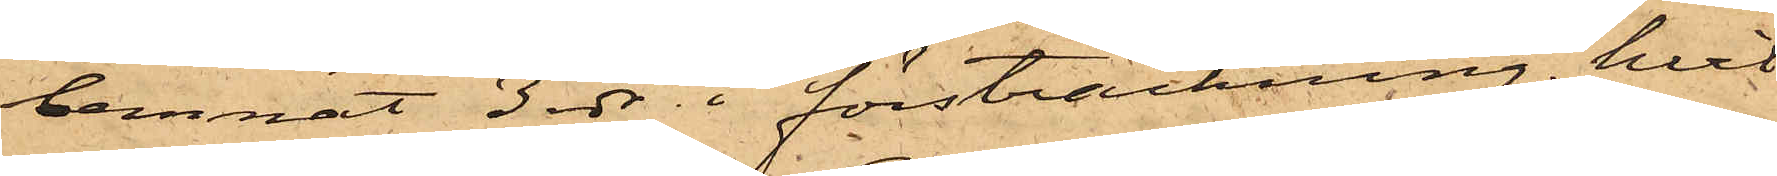lemnat 3 rdr i försträckning, hvil¬
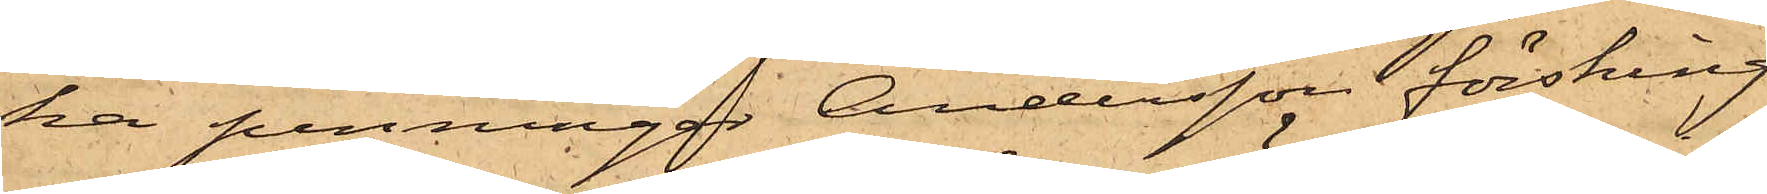ka penningar Andersson försking¬
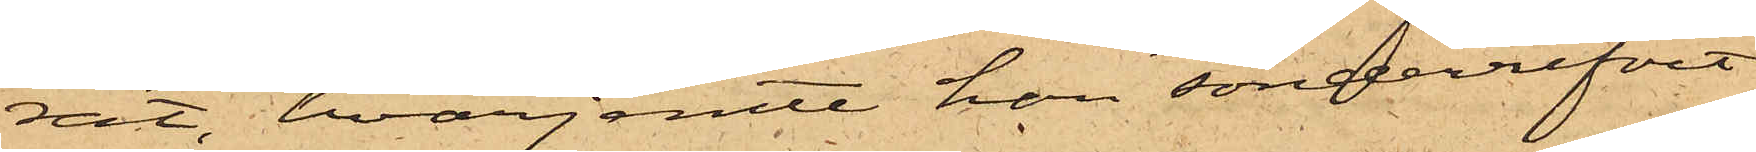rat, hvarjemte han sönderrifvit
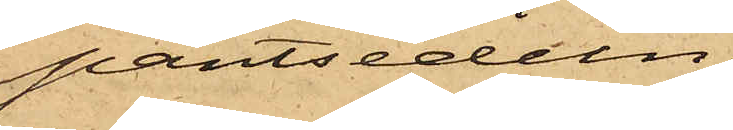pantsedeln.
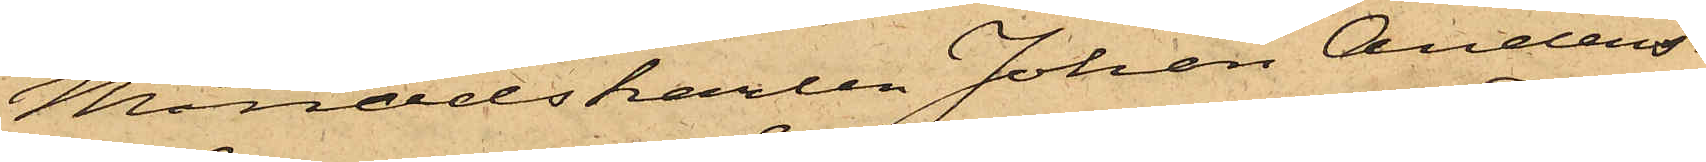Månadskarlen Johan Anders¬
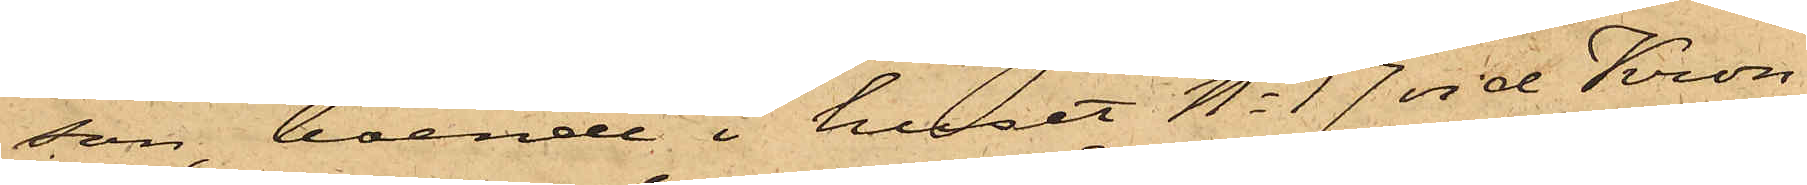son, boende i huset No 17 vid Kron¬
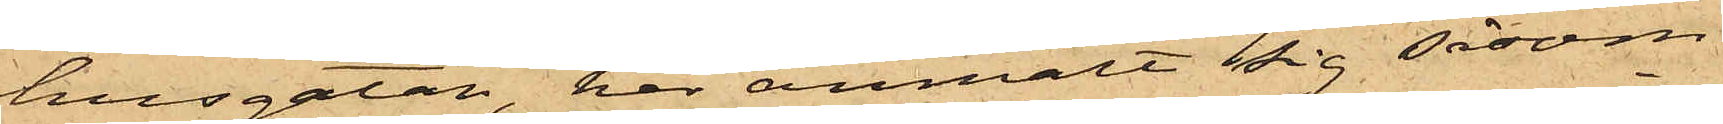husgatan, har anmält sig såsom
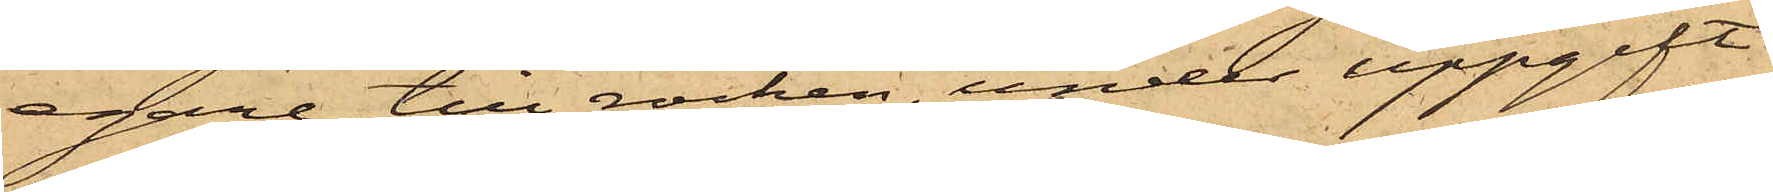egare till rocken, under uppgift
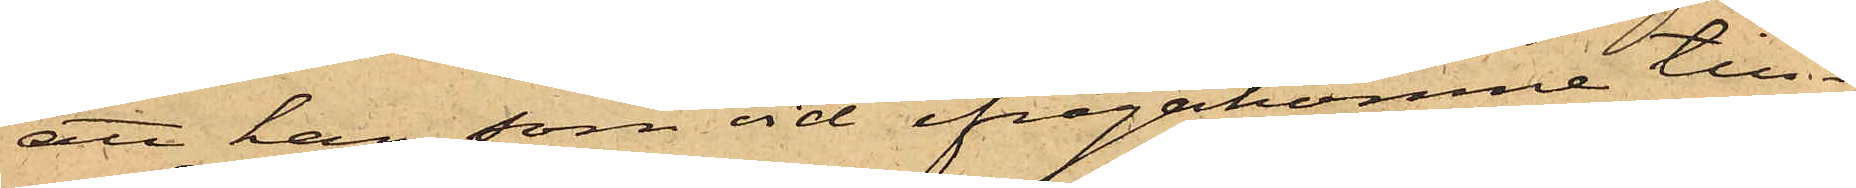att han, som vid ifrågakomne till¬
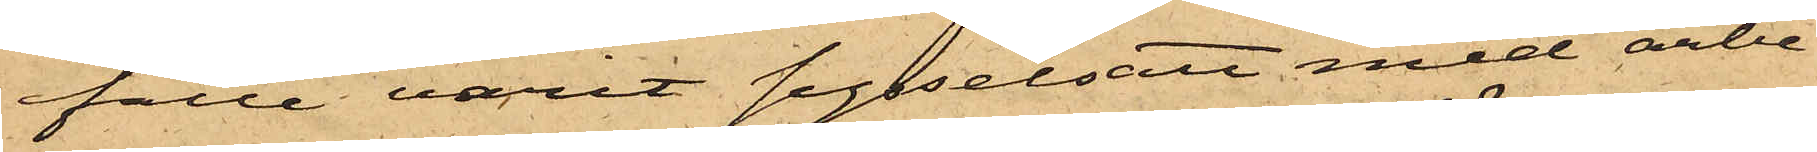fälle varit sysselsatt med arbe¬
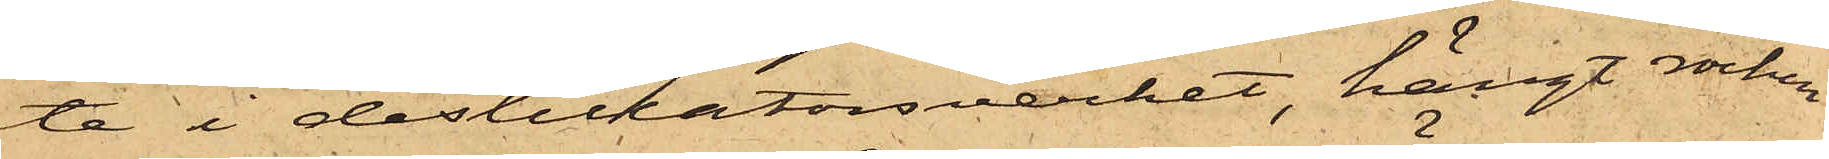te i destillatorsverket, hängt rocken
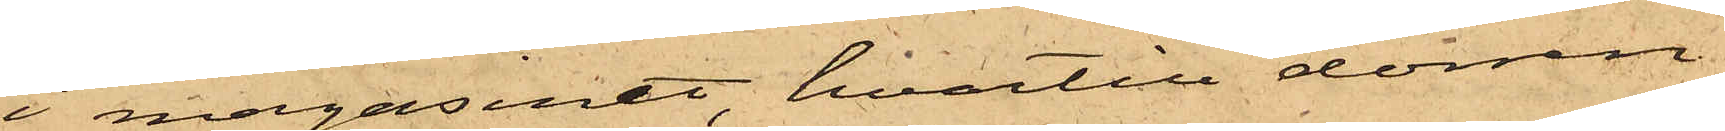i magasinet, hvartill dörren
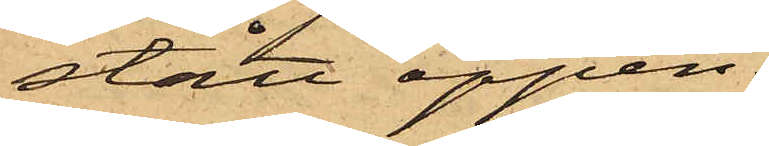stått öppen.
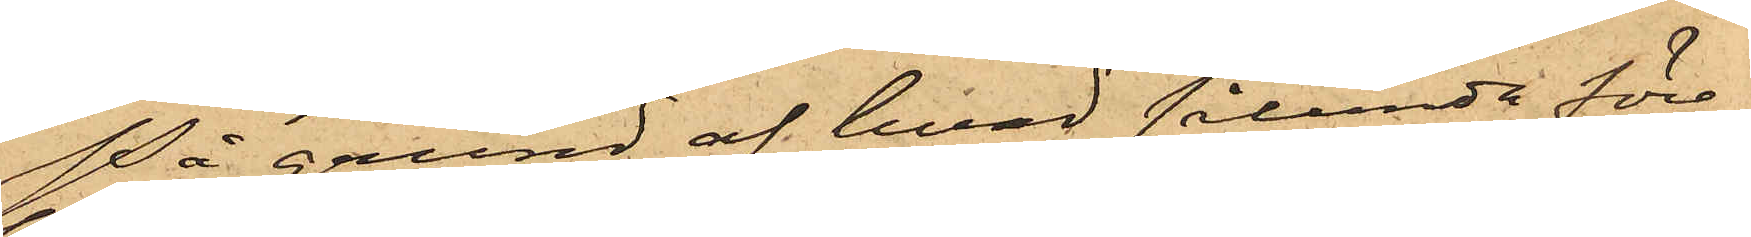På grund af hvad sålunda före¬
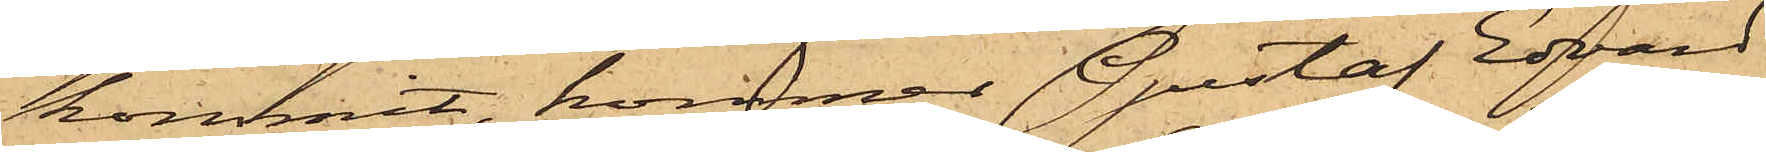kommit, kommer Gustaf Edvard
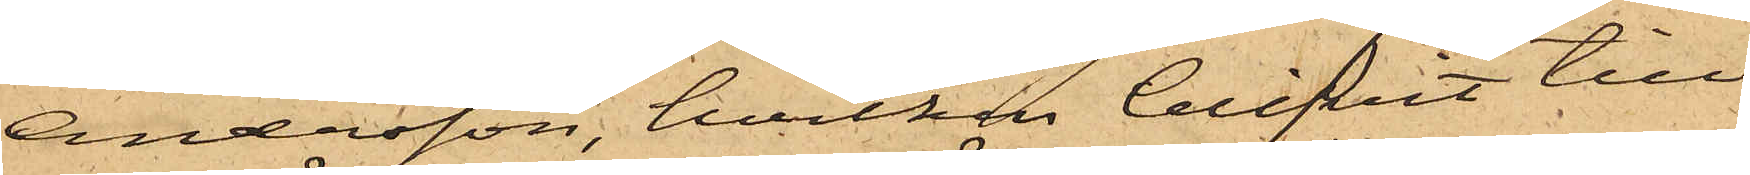Andersson, hvilken blifvit till
